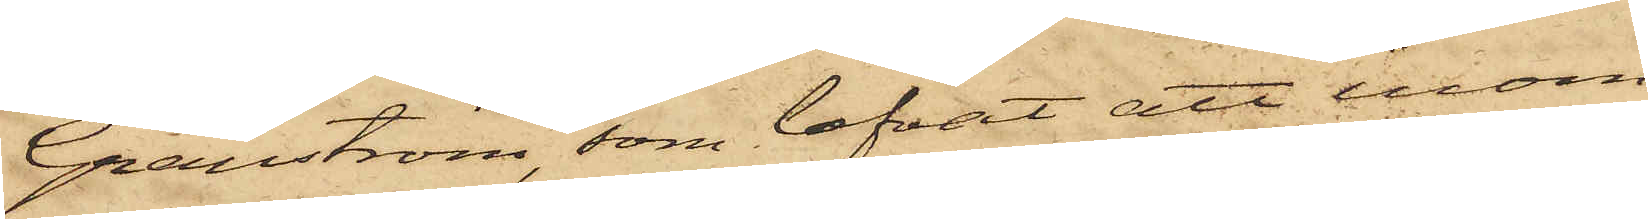Granström, som lofvat att inom
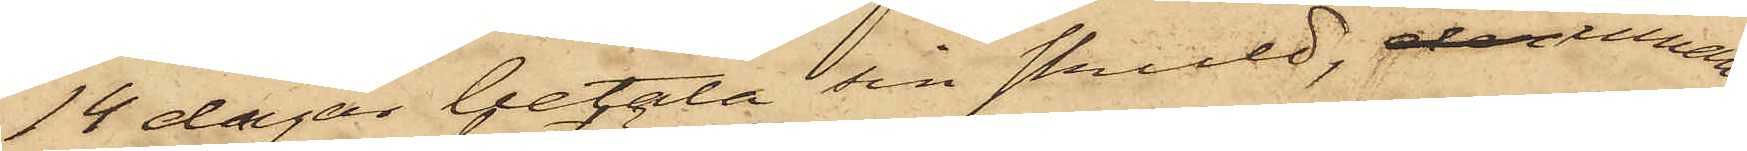14 dagar betala sin skuld, innan
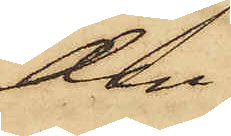den
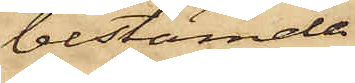bestämda
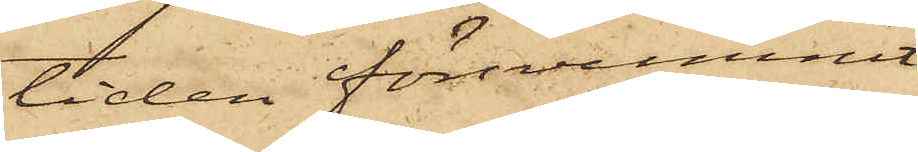tiden försvunnit
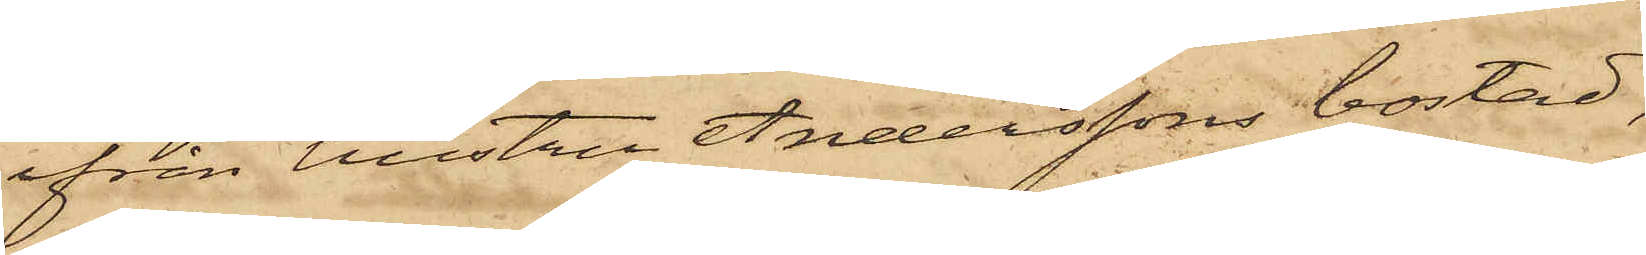ifrån hustru Anderssons bostad,
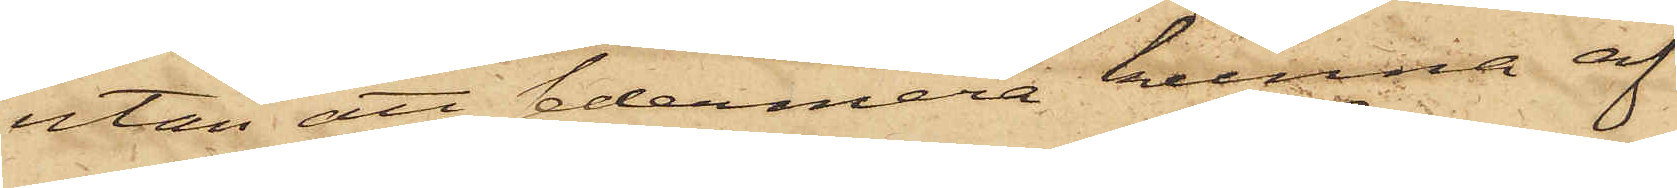utan att sedermera kunna af
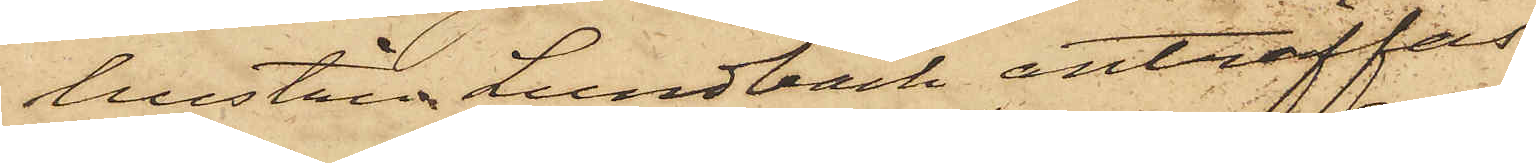hustru Lundbäck anträffas.
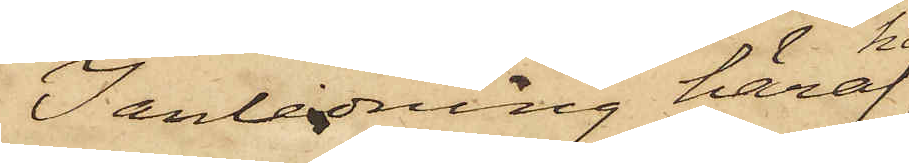I anledning häraf
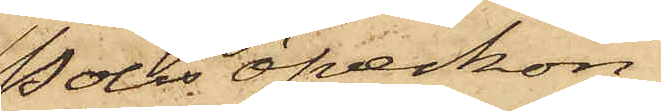Polisöfverkon¬
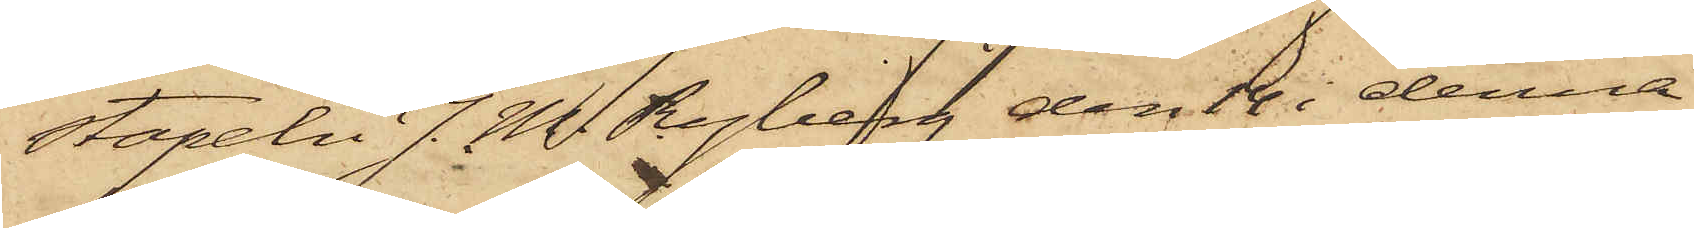stapeln J. M. Ryberg den 14 i denna
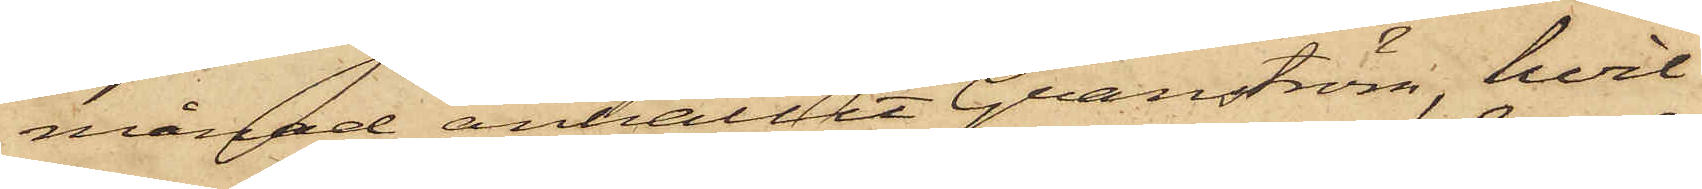månad anhållit Granström, hvil¬
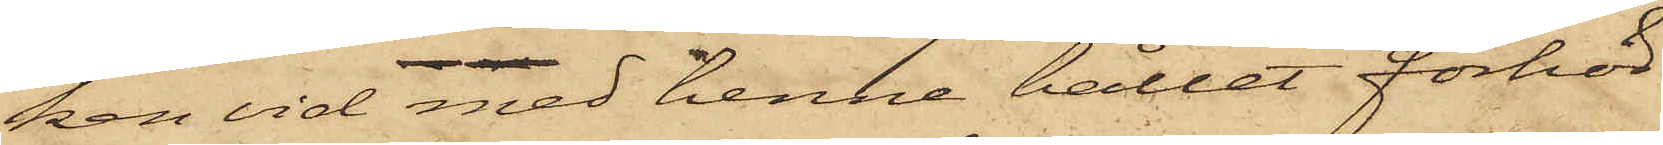ken vid med henne hållet förhör
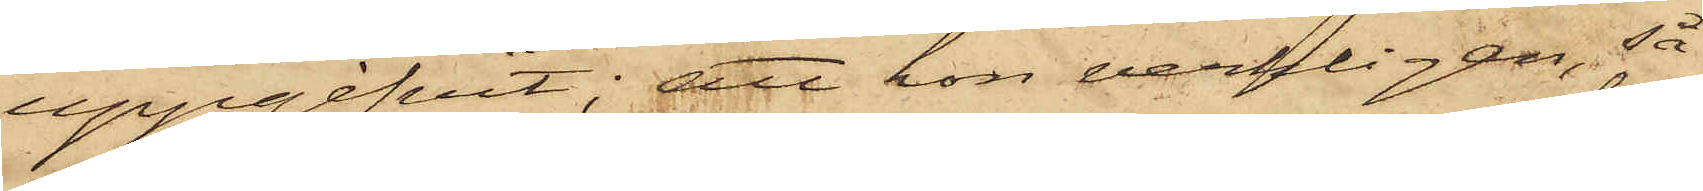uppgifvit; att hon verkligen, så
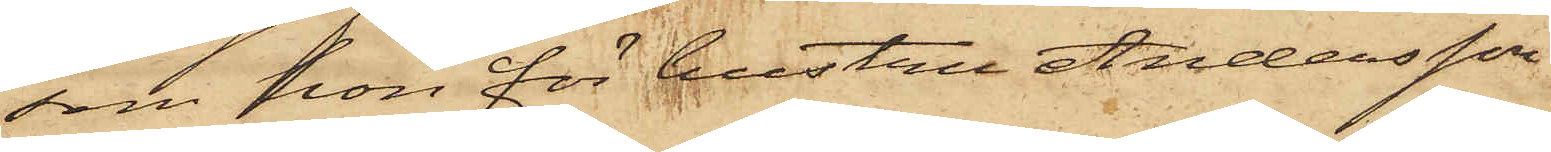som hon för hustru Andersson
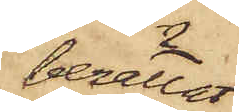berättat,
